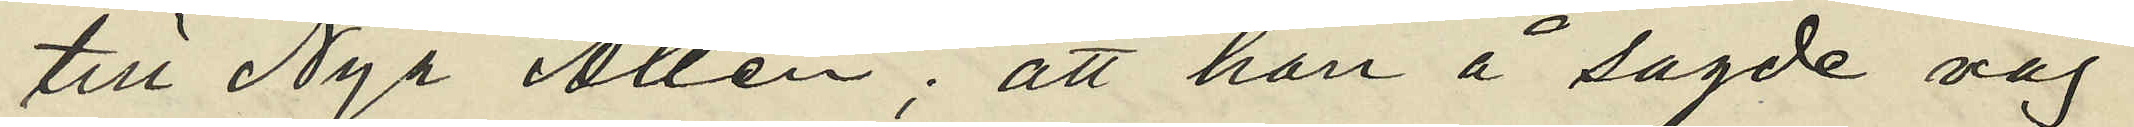till Nya Allén; att han å sagde väg
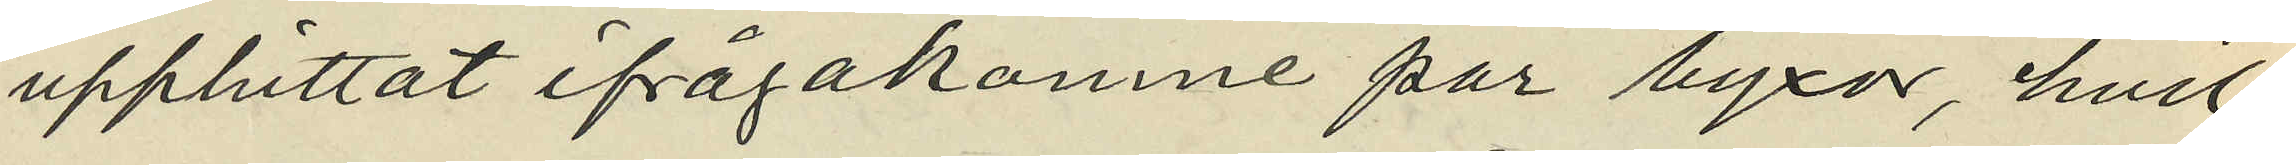upphittat ifrågakomne par byxor, hvil¬
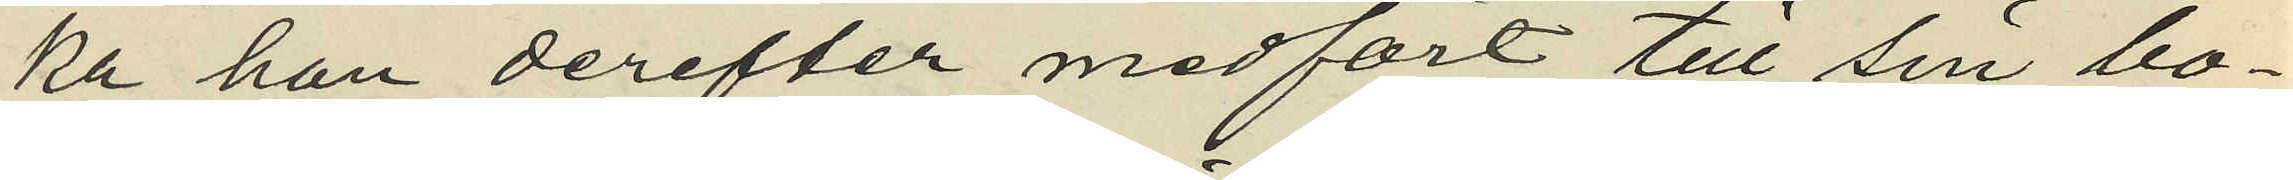ka han derefter medfört till sin bo¬
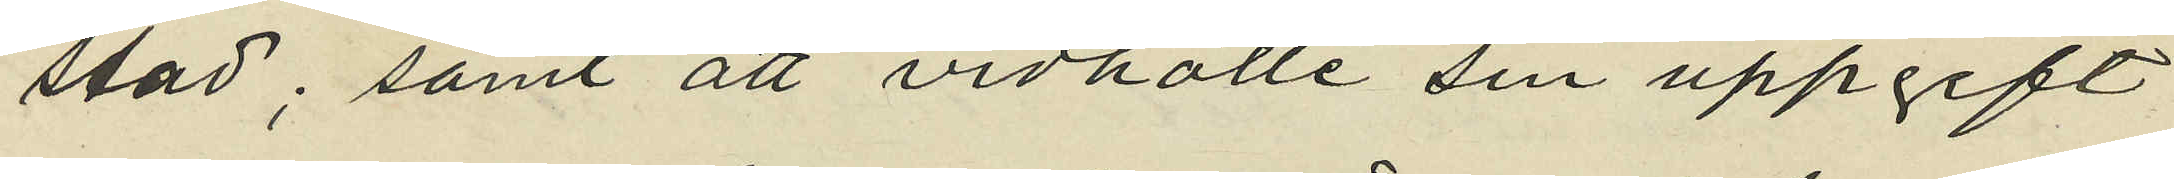stad; samt att vidhålle sin uppgift
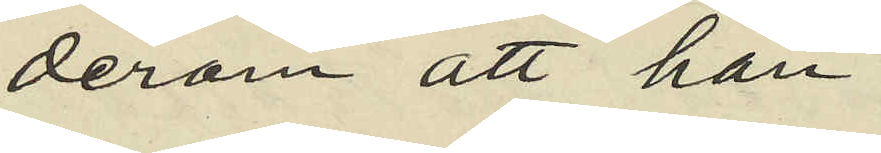derom att han
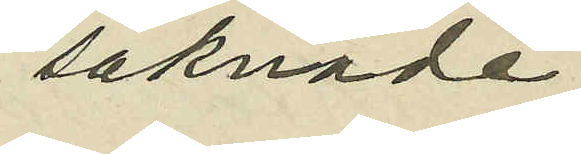saknade
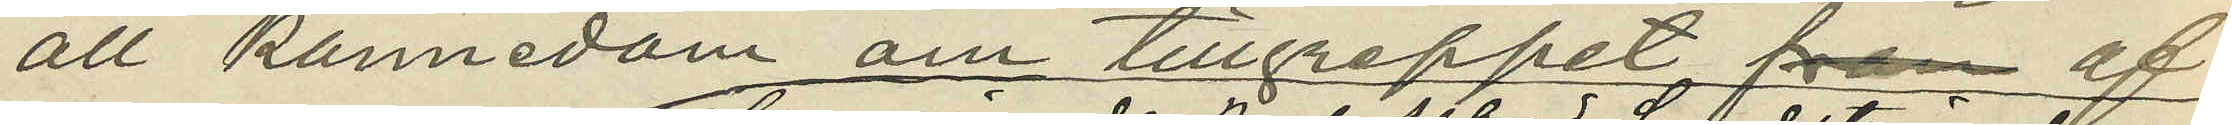all kännedom om tillgreppet af
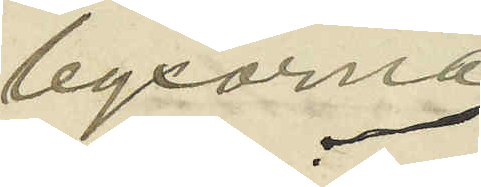byxorna.
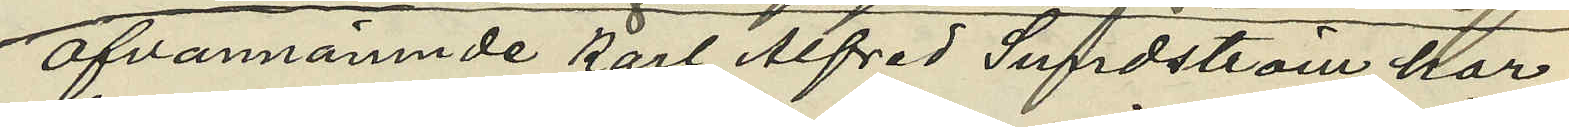Ofvannämnde Karl Alfred Sundström har
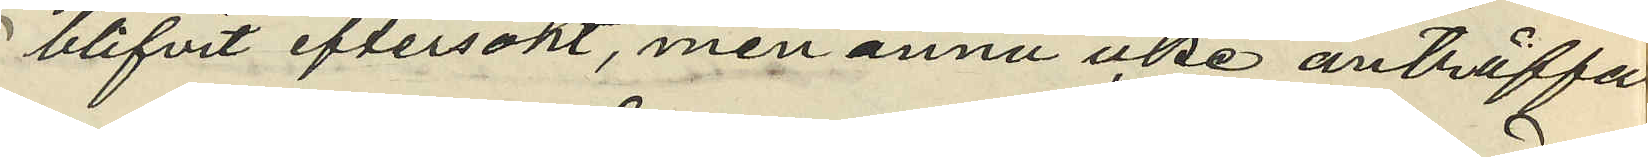blifvit eftersökt, men ännu icke anträffat
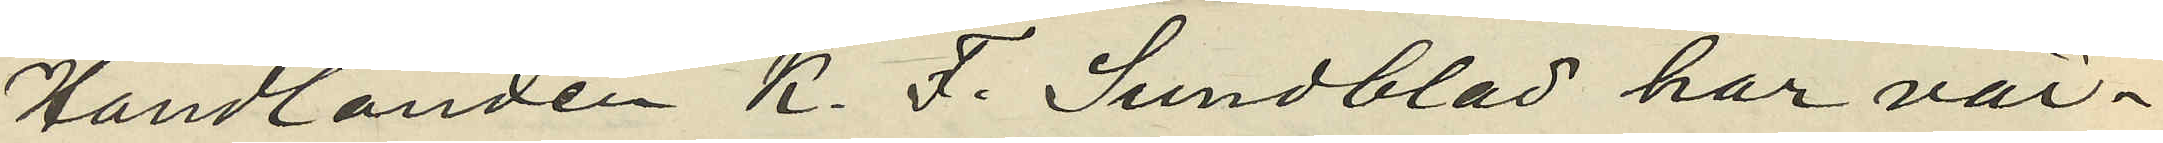Handlanden K. F. Sundblad har vär¬
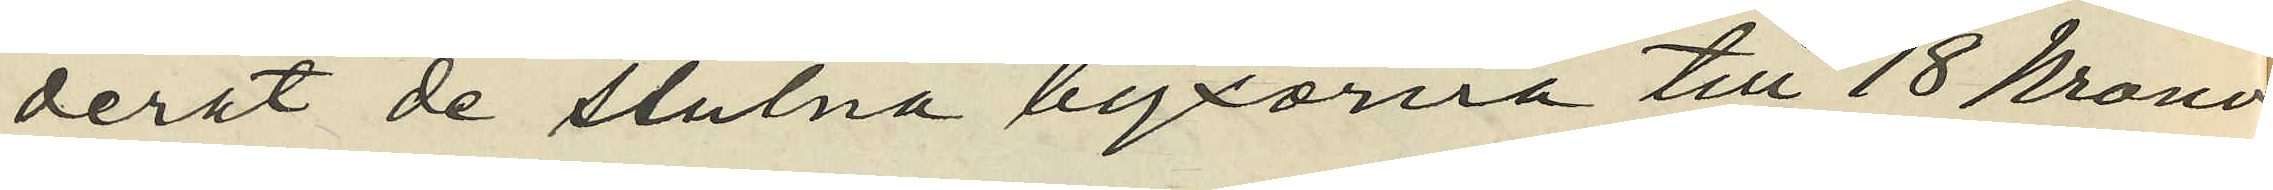derat de stulna byxorna till 18 Kronor
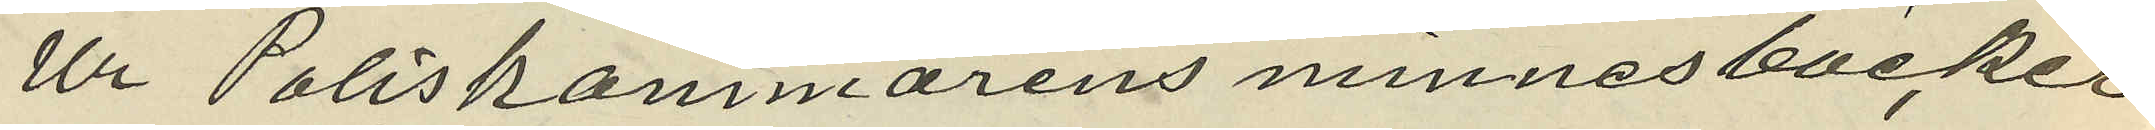Ur Poliskammarens minnesböcker
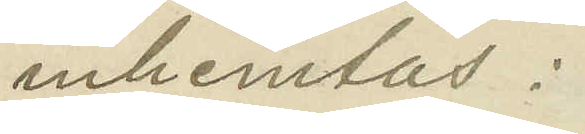inhemtas:
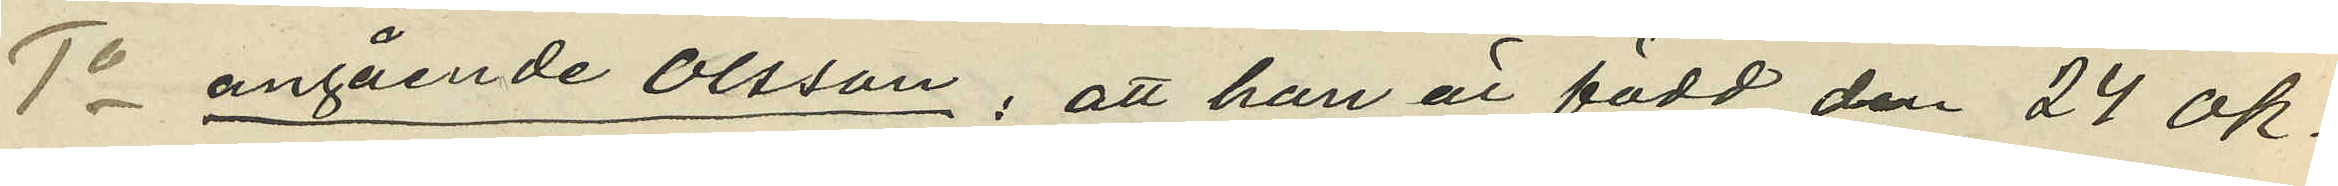1o angående Olsson; att han är född den 24 Ok¬
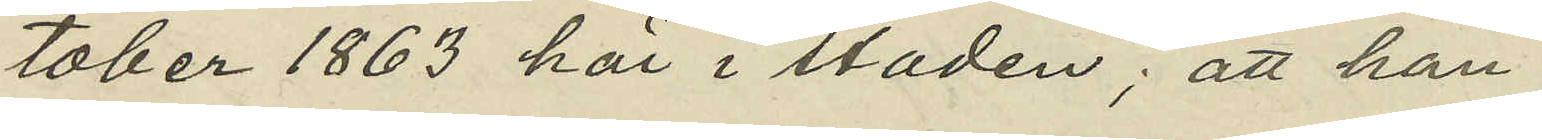tober 1863 här i staden; att han
